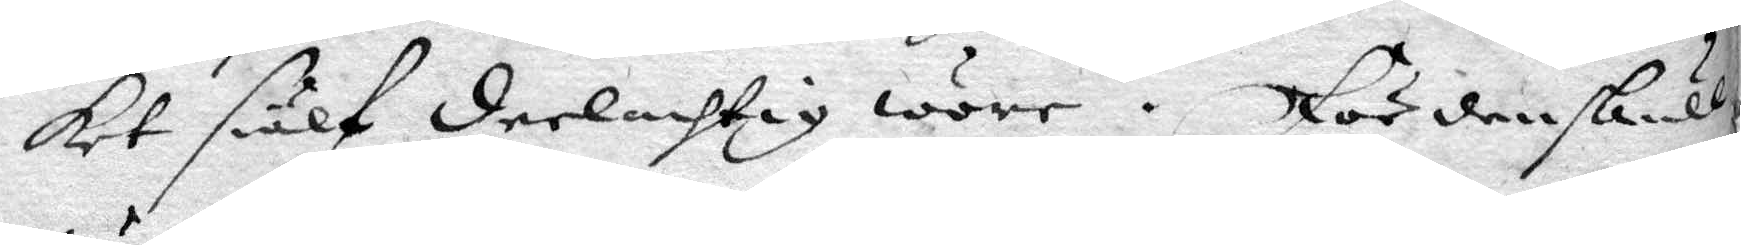ket siälf deelachtig wore. För den skull
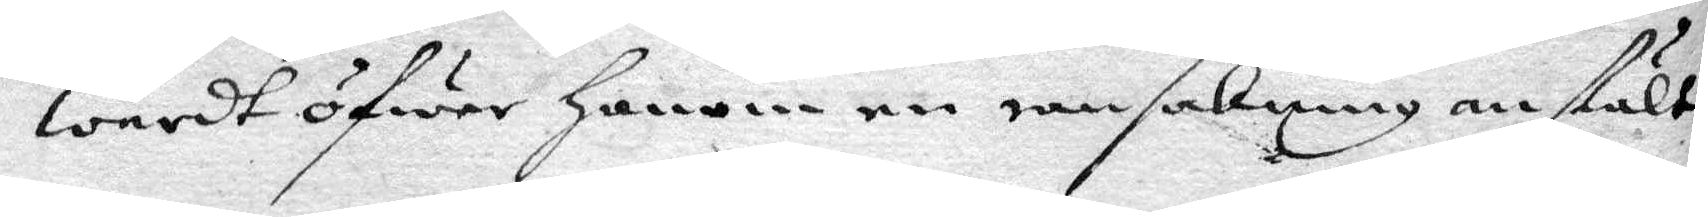wardt öfwer honom en ransakning anstält
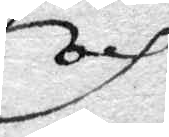och
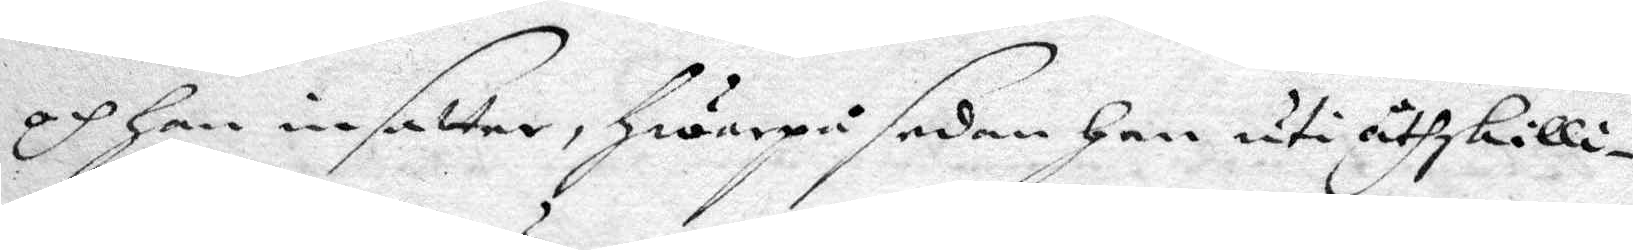och han insatte, hwarpå sedan han uti åthskilli¬
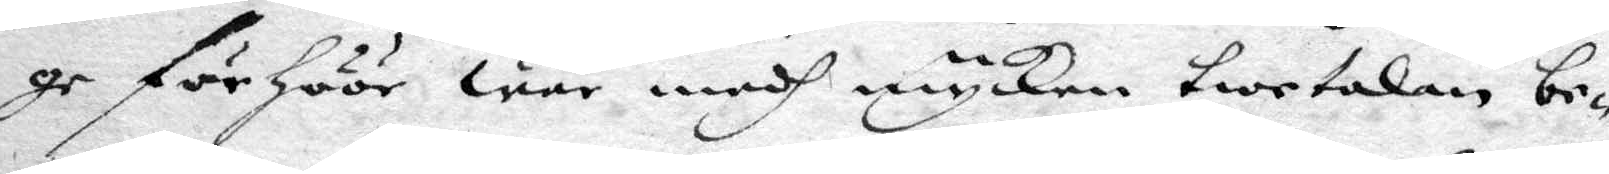ge förhöör war medh mycken twetalan be¬
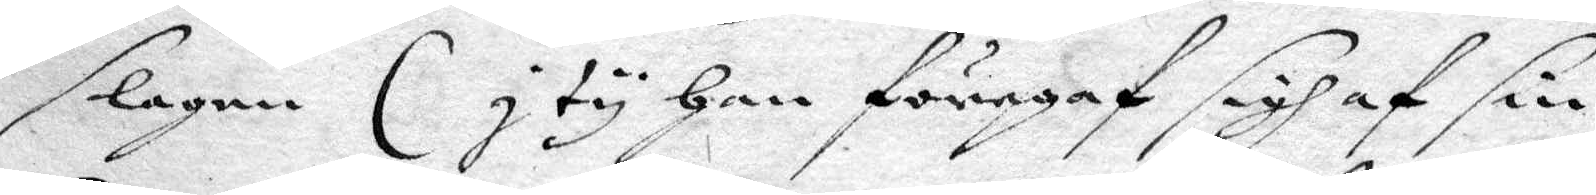slagen ( J ty han föregaf sigh af sin
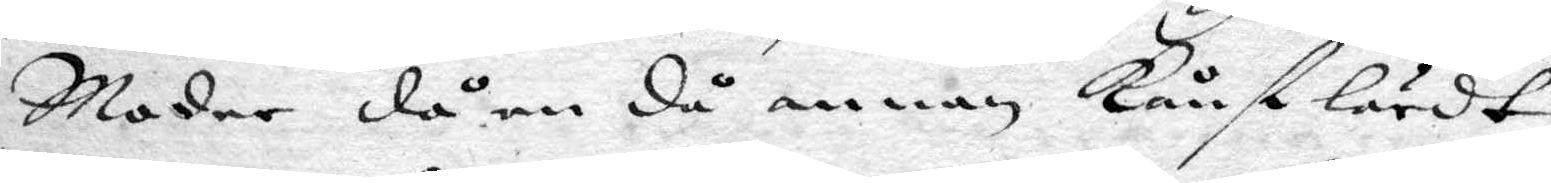Moder då en då annan Kånst lärdt
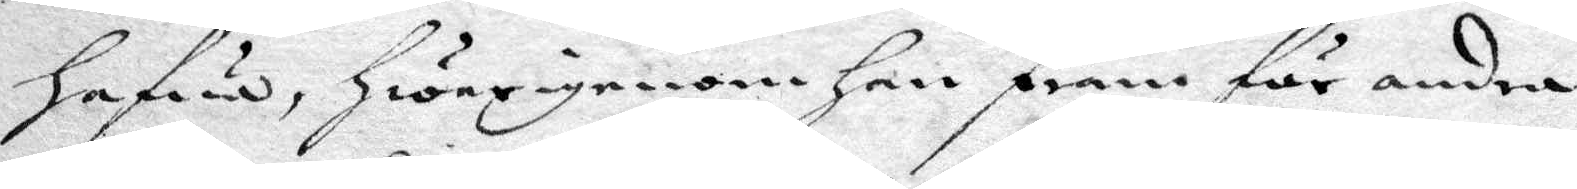hafwer, hwarigenom han fram för andra
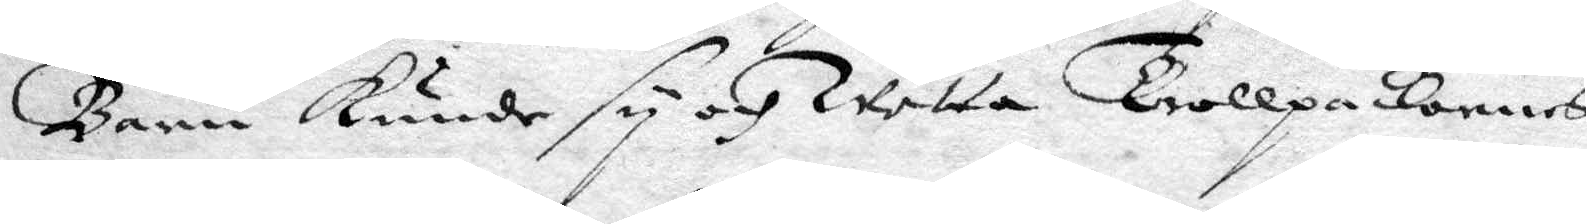Barn kunde sy och wetta Trollpackornes
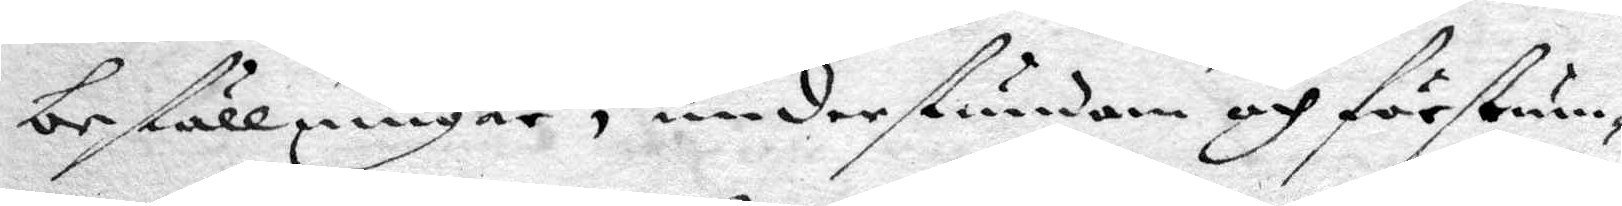beställningar, under stundom och förstum¬
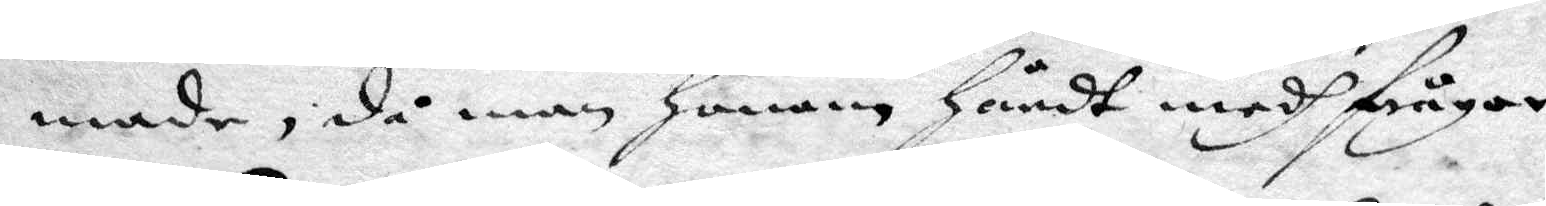made, då man honom hördt medh frågor
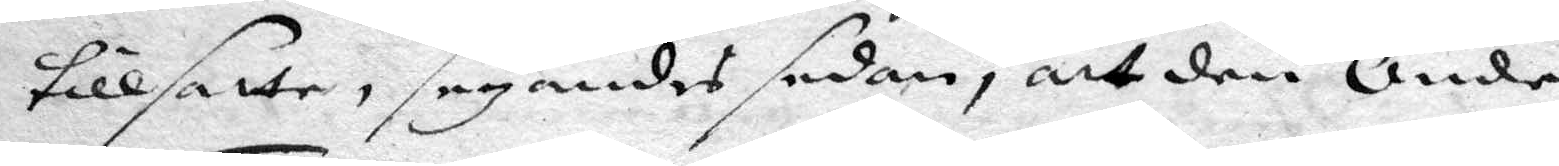tillsatte, säyandes sedan, att den Onde
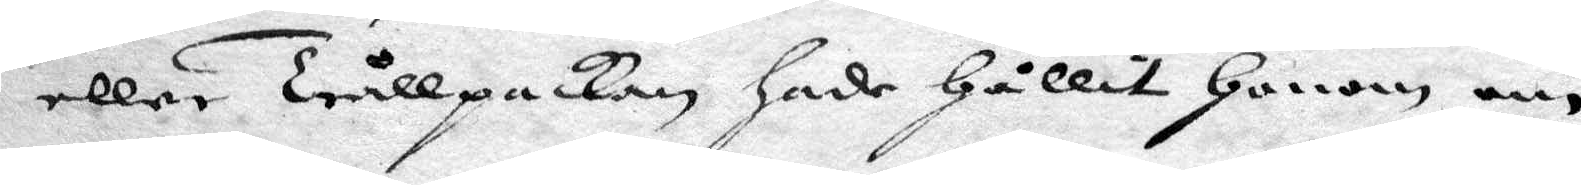eller Trållpackan hade hållit honom om
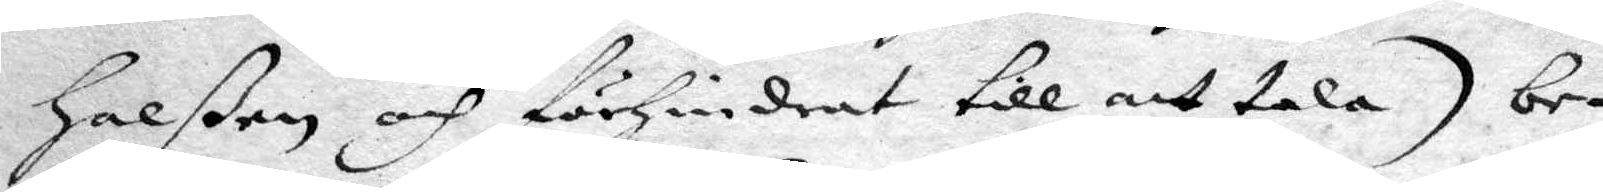halßen och förhindrat till att tala) be¬
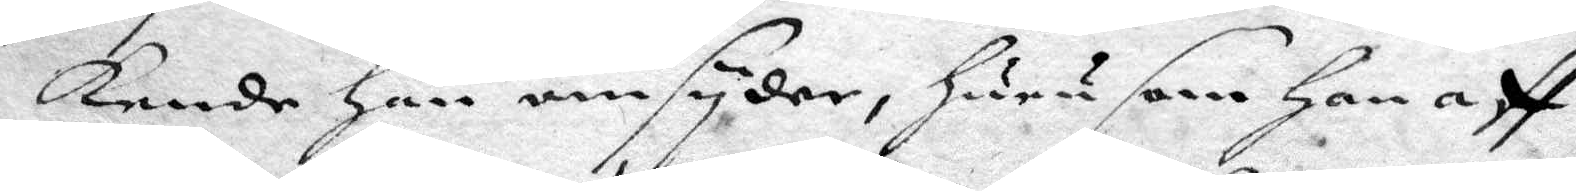kende han omsyder, huru som han aff
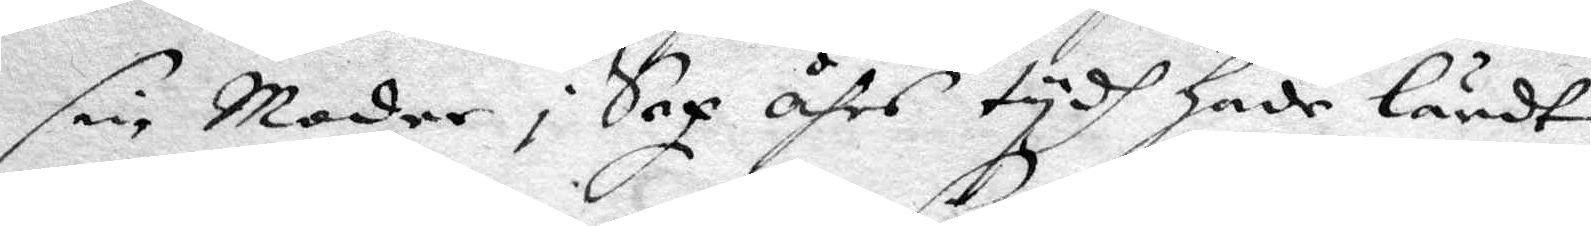sin Moder i Sex åhrs tydh hade lärdt
